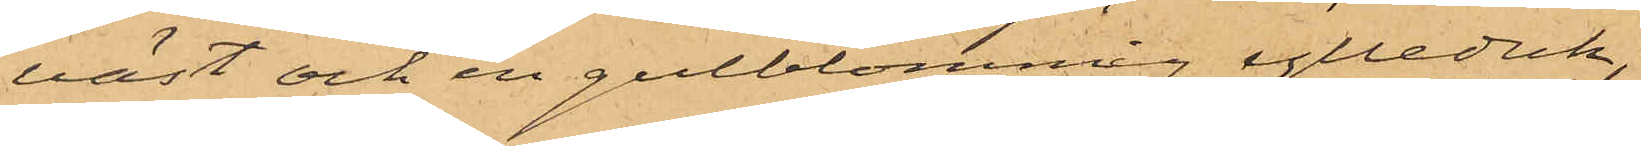väst och en gulblommig ylleduk;
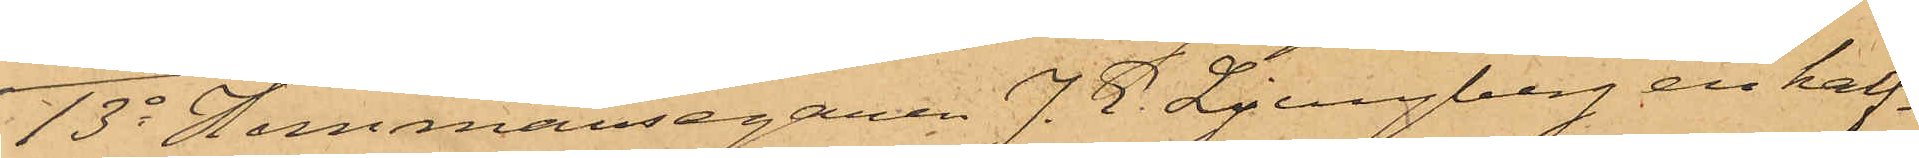13o Hemmansegaren J. E. Ljungberg en half¬
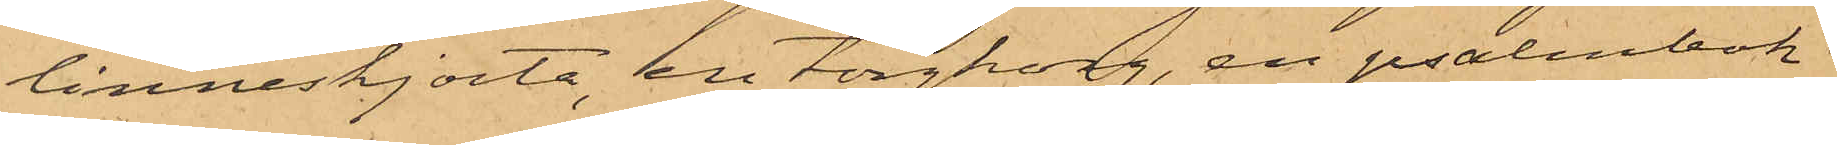linneskjorta, en torgkorg, en psalmbok
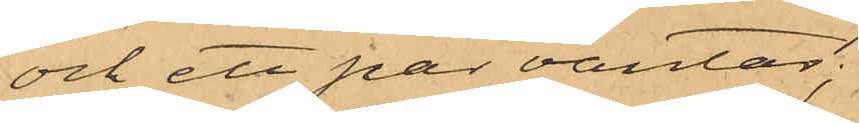och ett par vantar;
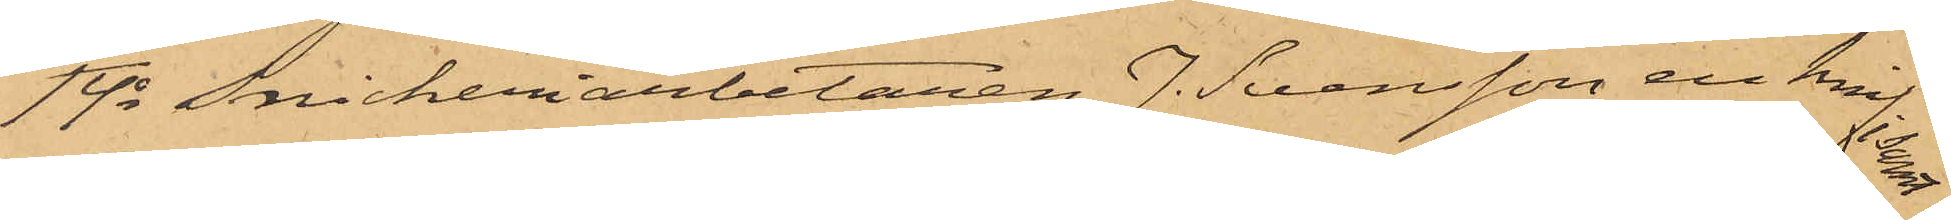14o Snickeriarbetaren J. Svensson en knif; samt
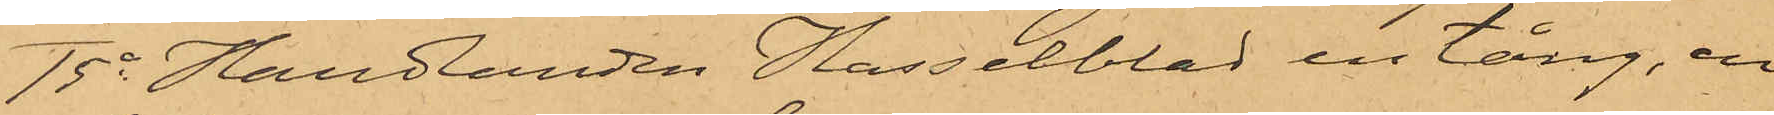15o Handlanden Hasselblad en tång, en 
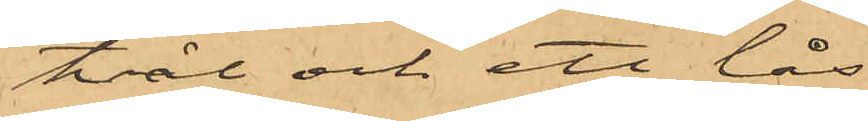tvål och ett lås.
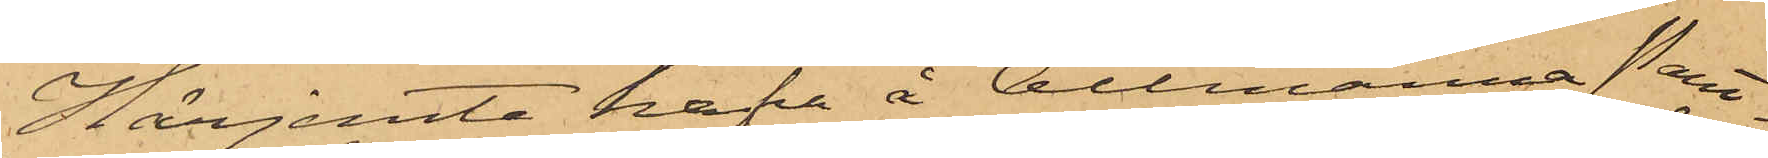Härjemte hafva å Allmänna Pant¬
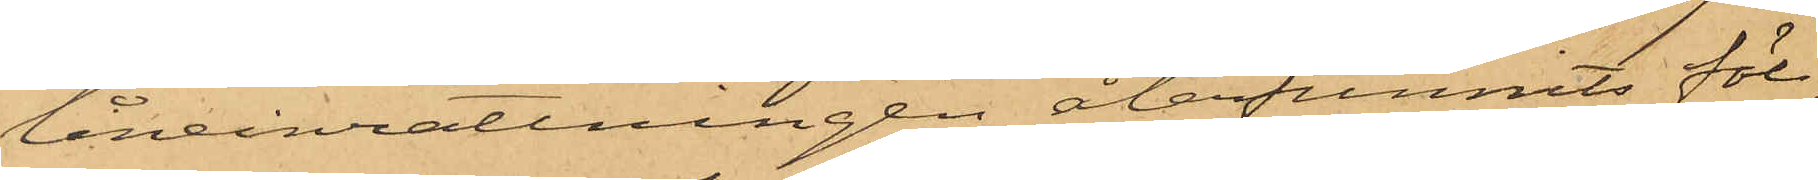låneinrättningen återfunnits föl¬
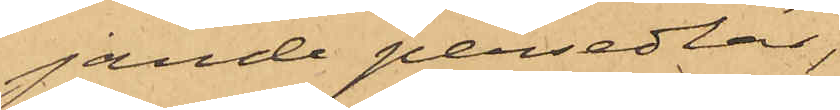jande persedlar,
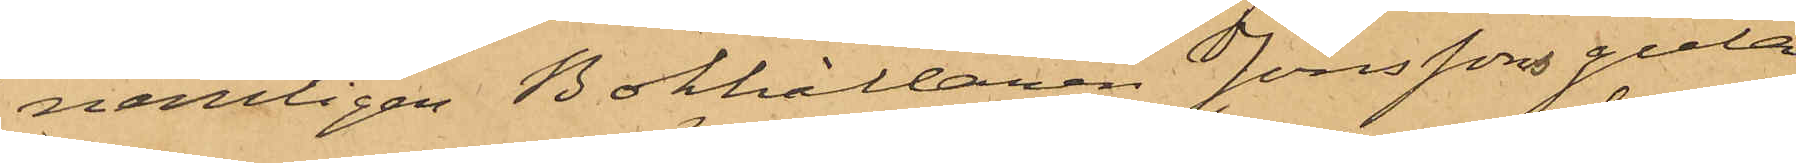nemligen Bokhållaren Jönssons gula
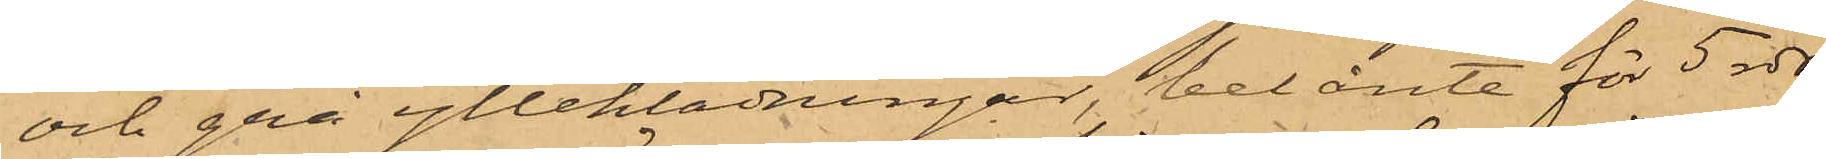och grå ylleklädningar, belånte för 5 rdr,
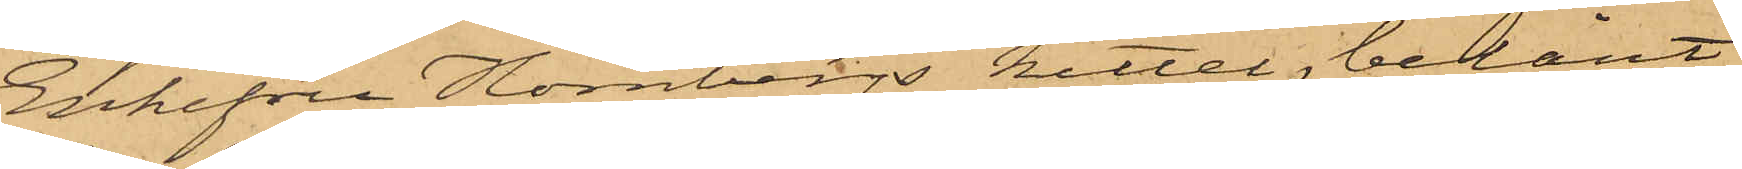Enkefru Hörnbergs kittel, belånt
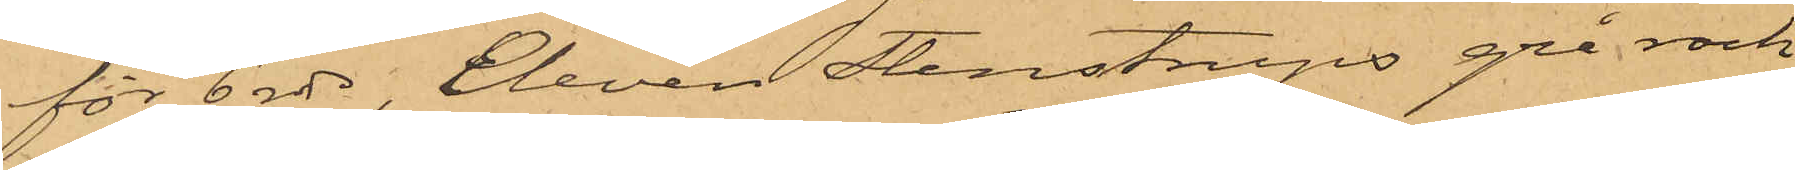för 6 rdr, Eleven Stenstrups grå rock
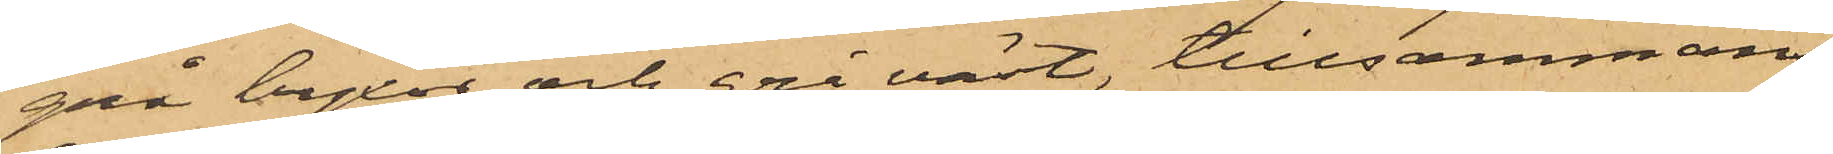grå byxor och grå väst, tillsammans
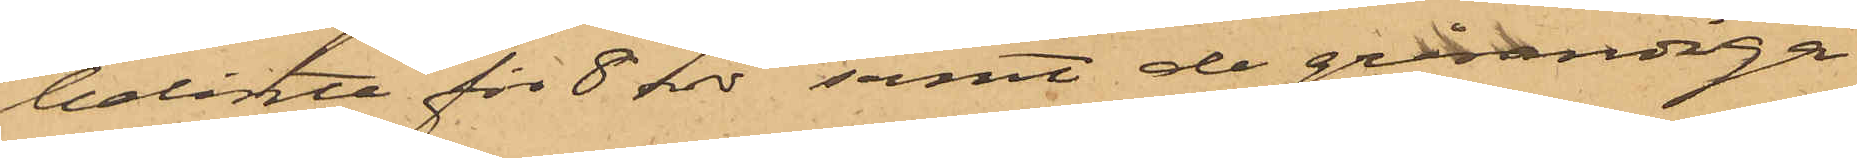belånte för 8 rdr samt de grårandiga
